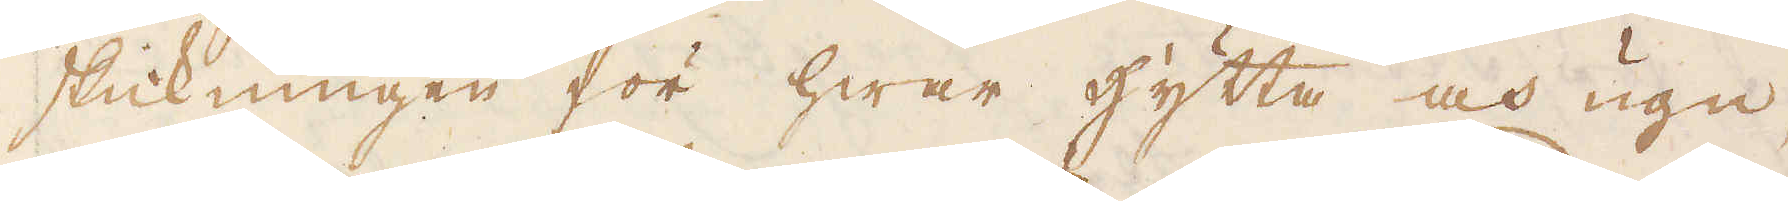skickningen för hwar hytta och ugn,
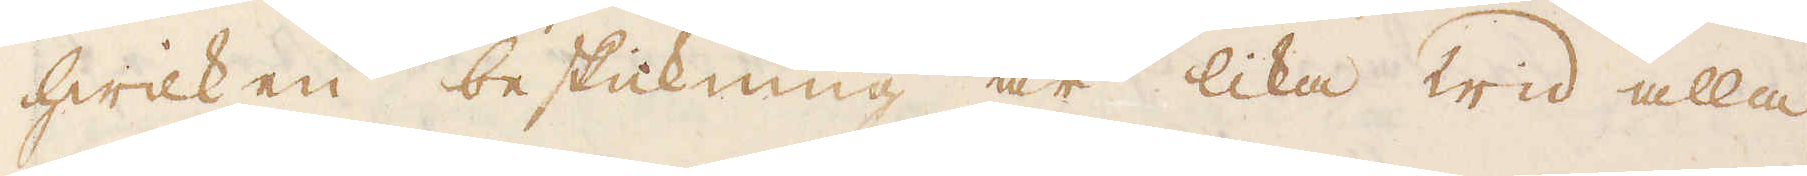hwilken beskickning är lika wid alla
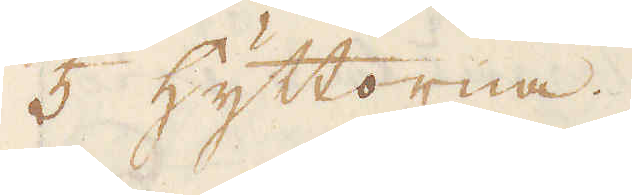5 hyttorna.
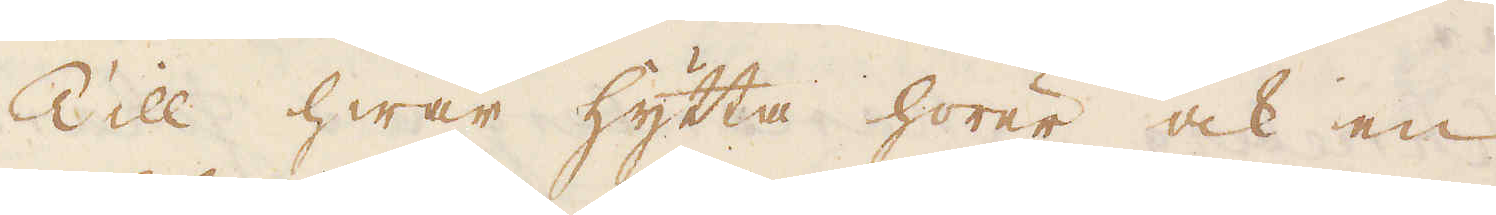Till hwar hytta hörer ock en
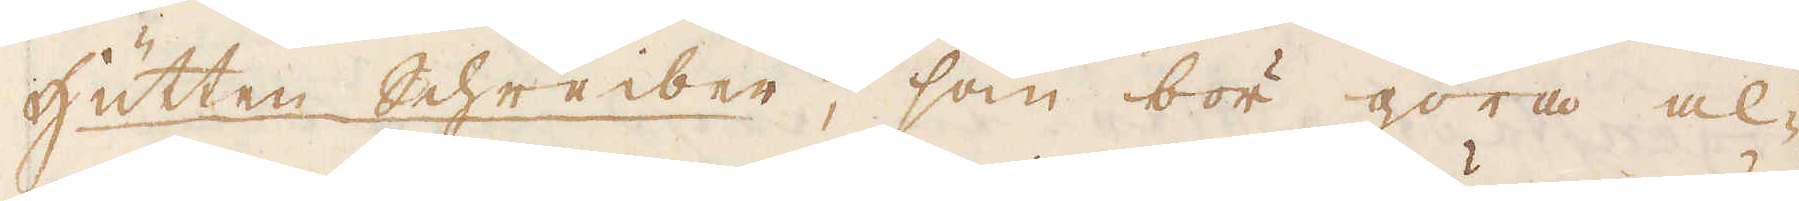Hütten schreiber, som bör göra al-
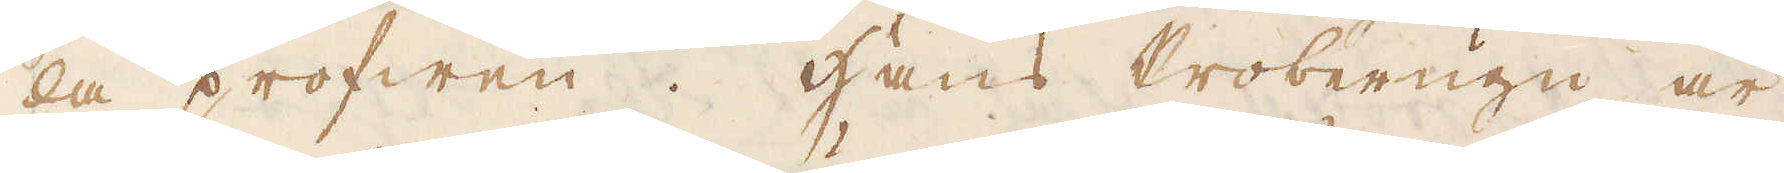la profwen. Hans Proberugn är
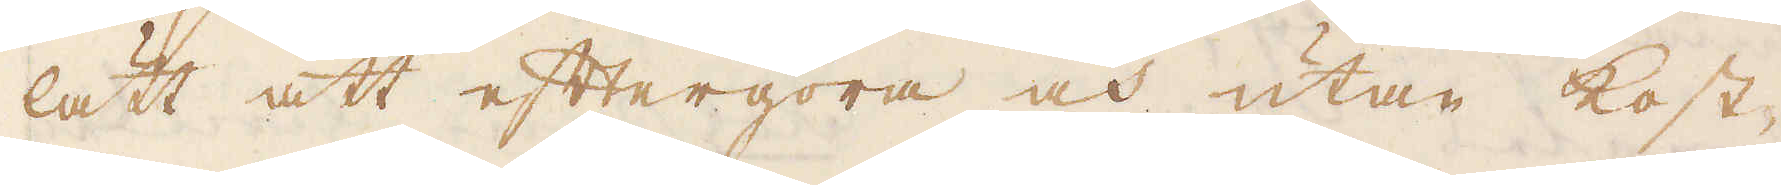lätt att eftergöra och utan kost-
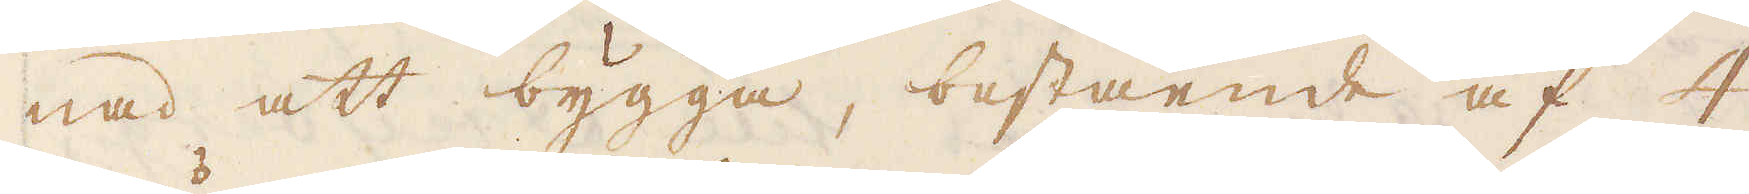nad att bygga, bestående af 4
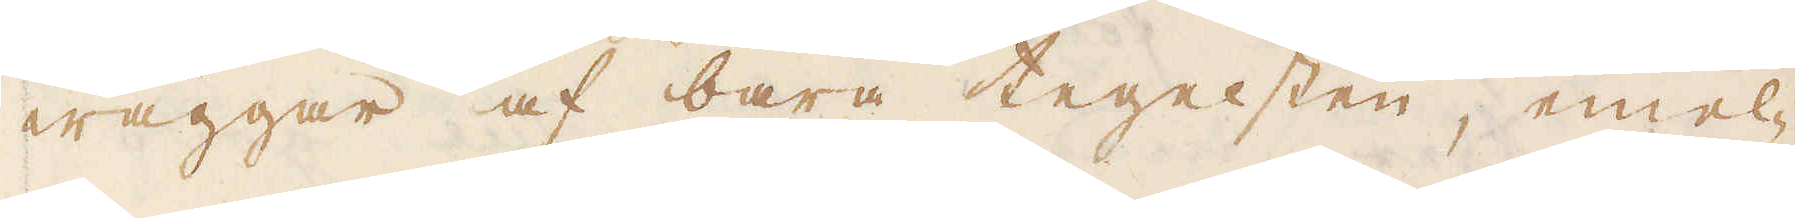wäggar af bara tegelsten, emel-
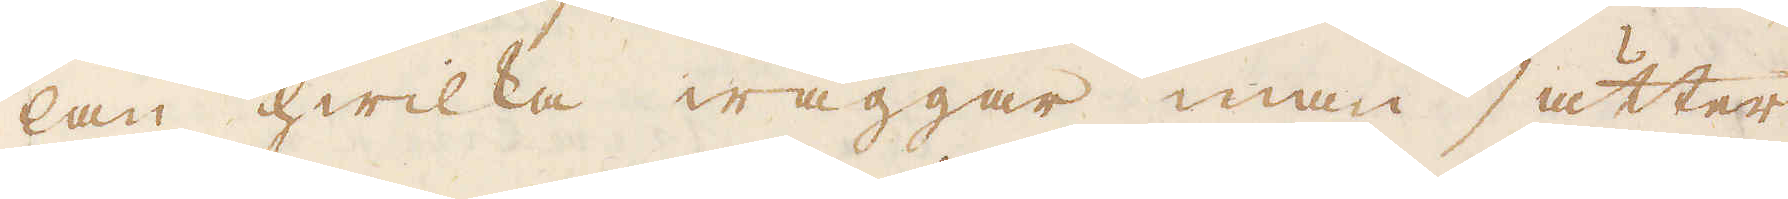lan hwilka wäggar man sätter
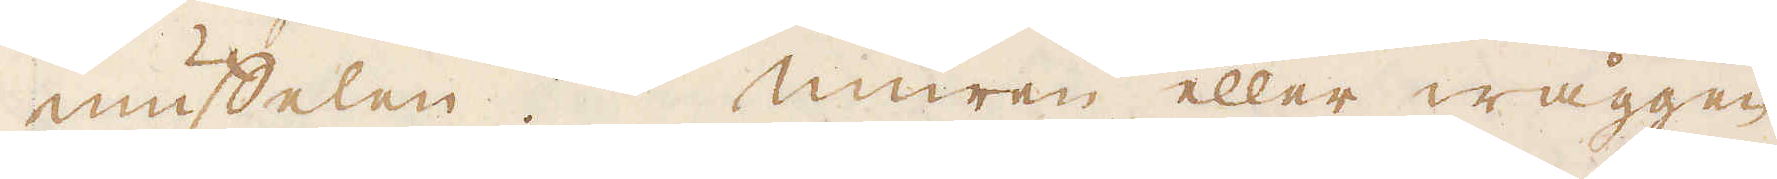Muffelen. Muren eller wäggen
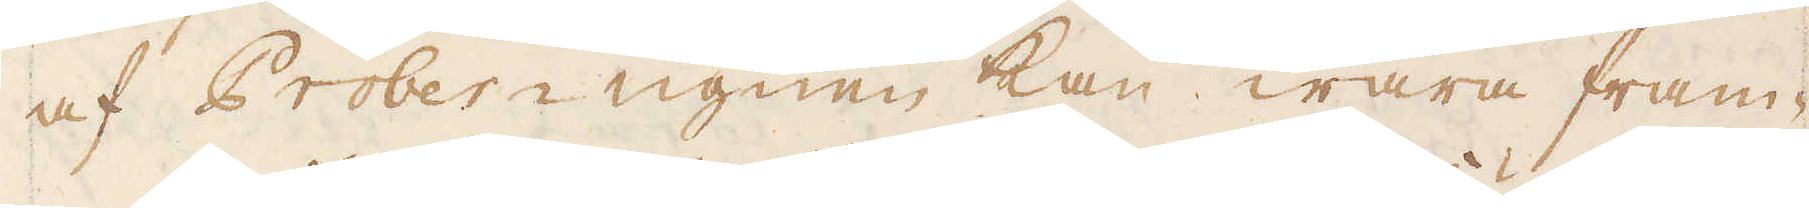af Prober-ugnen kan wara fram-
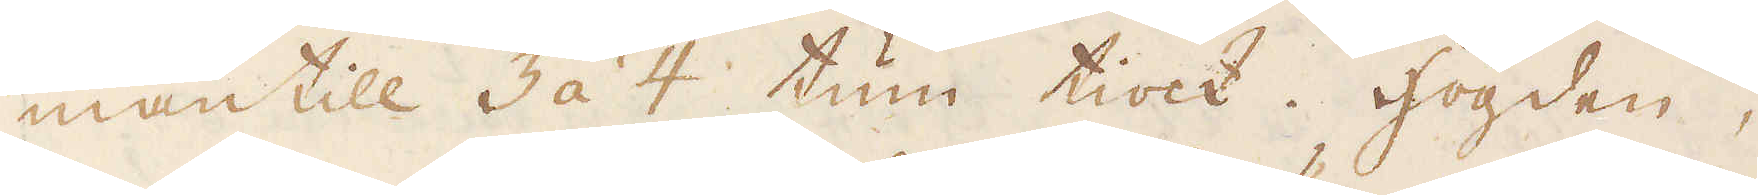mantill 3 à 4 tum tiock. Högden,
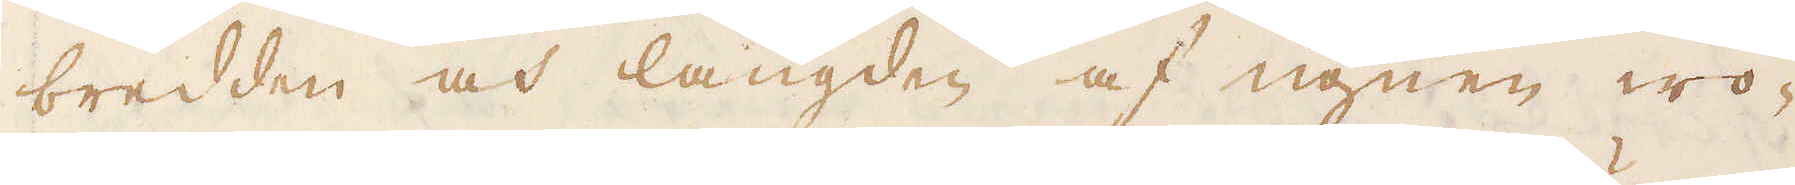bredden och längden af ugnen wo-
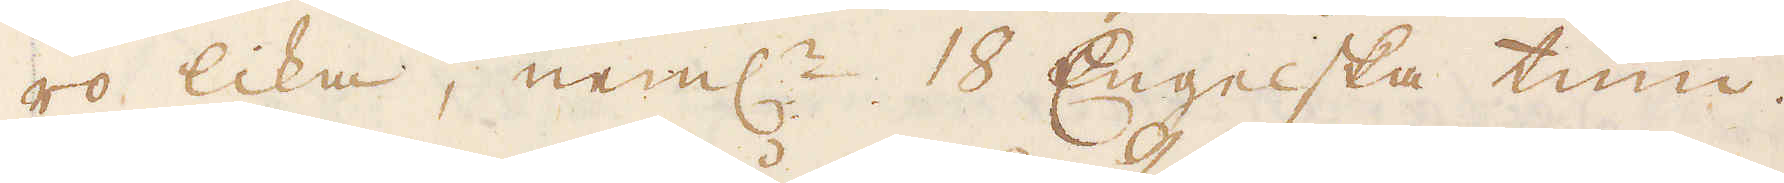ro lika, neml:n 18 Engelska tum.
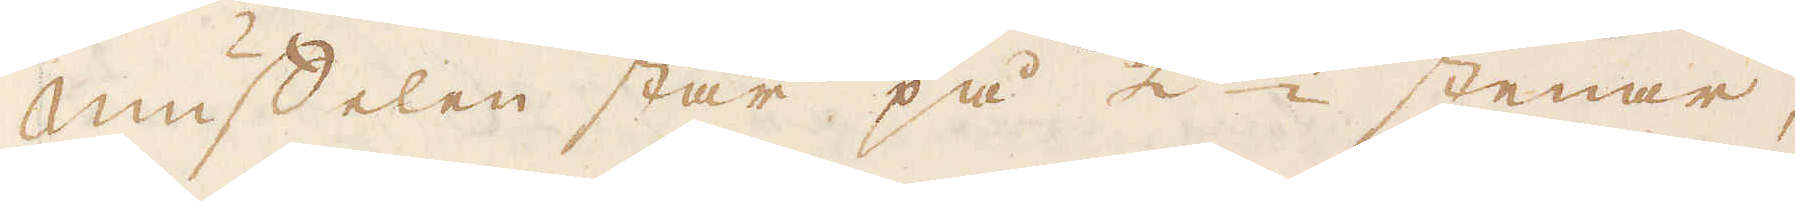Muffelen står på 2ne stenar,
